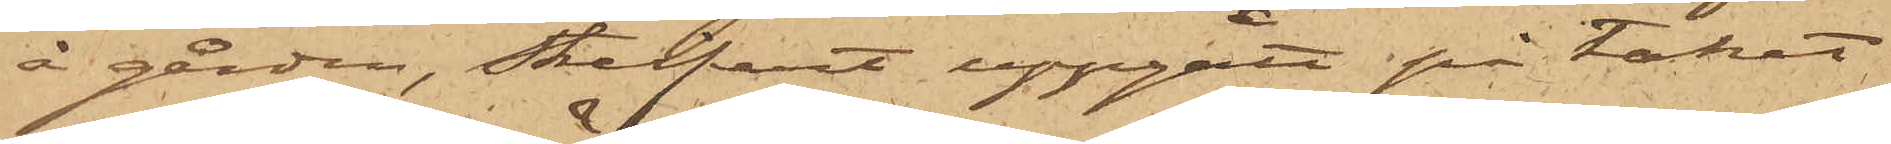å gården, Streifert uppgått på taket
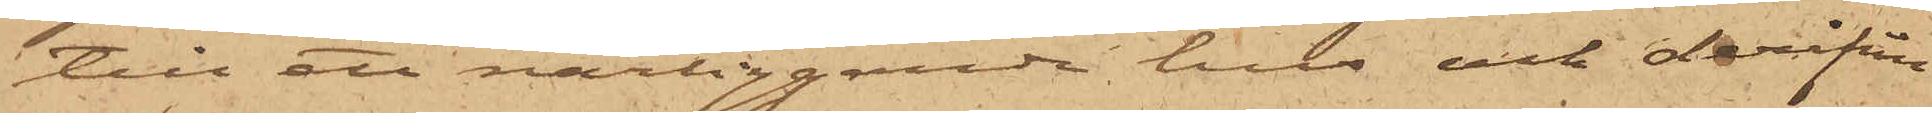till ett närliggande hus och derifrån
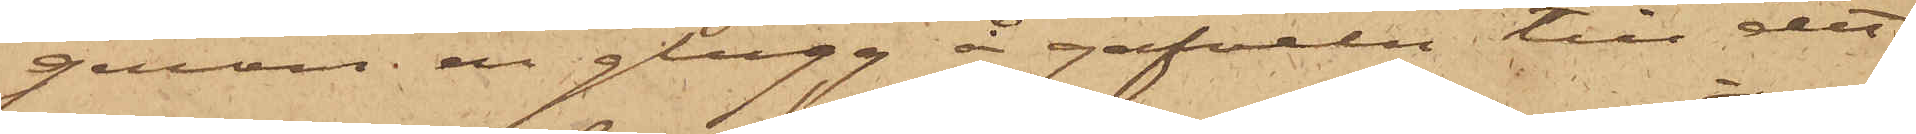genom en glugg å gafveln till det
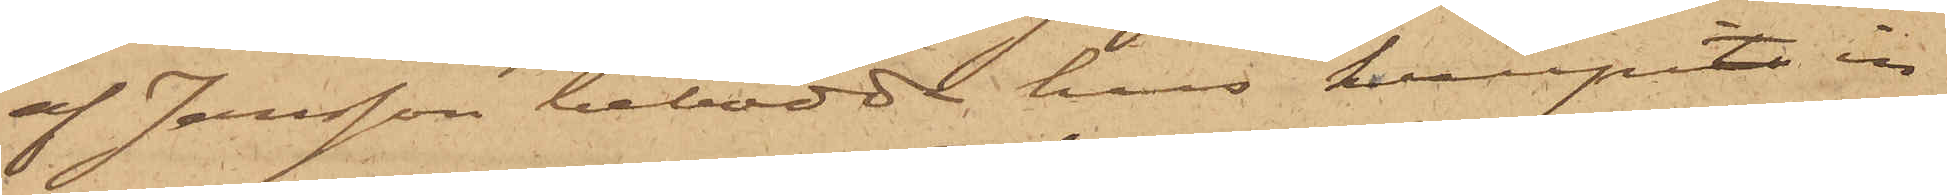af Jansson bebodda hus krupit in
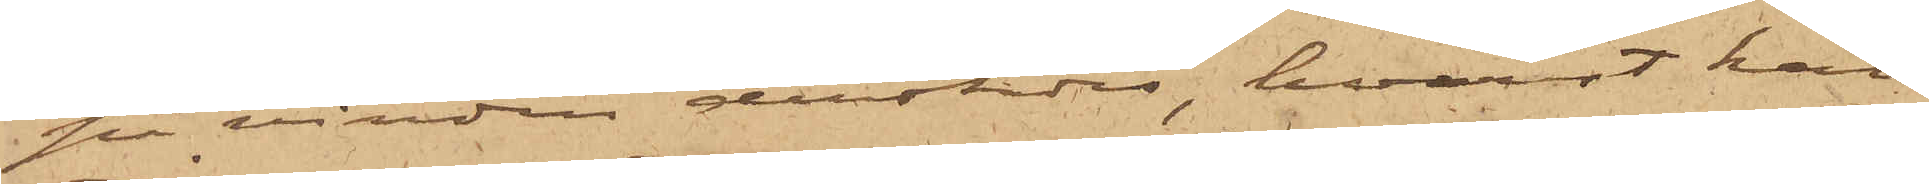på vinden derstädes, hvarest han
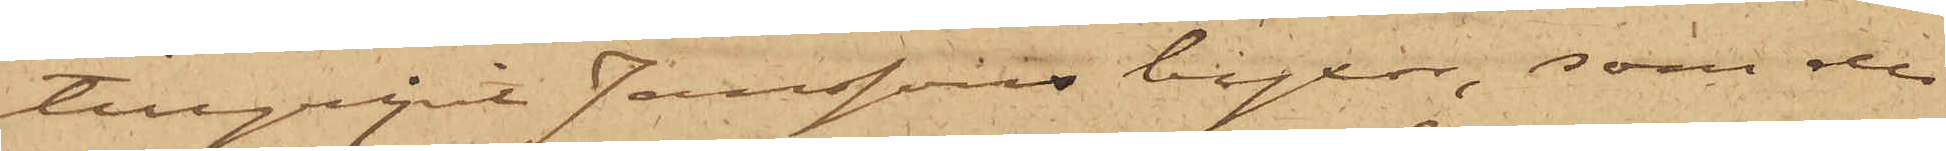tillgripit Janssons byxor, som de
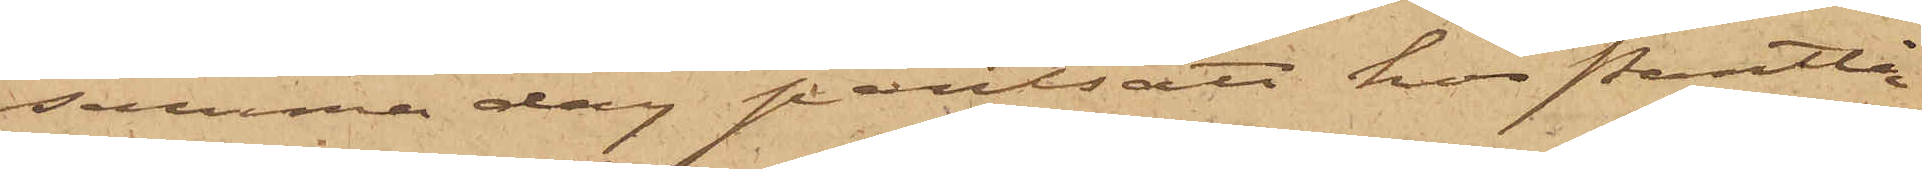samma dag pantsatt hos Pantlån¬
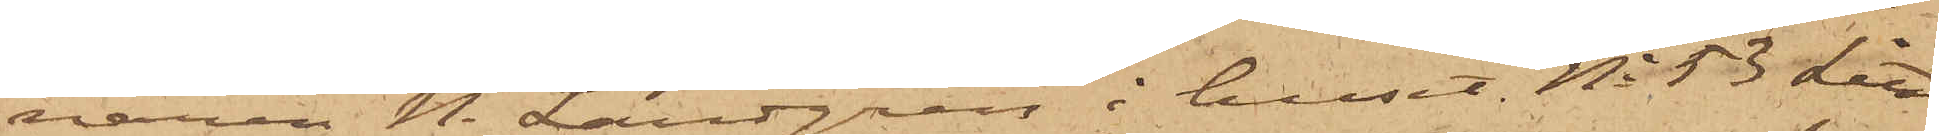naren N. Landgren i huset No 53 Litt
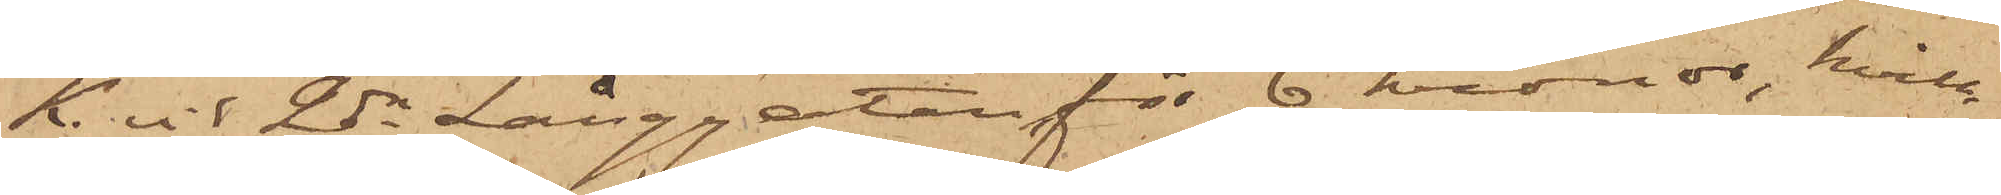K. vid 2dra Långgatan för 6 kronor, hvil¬
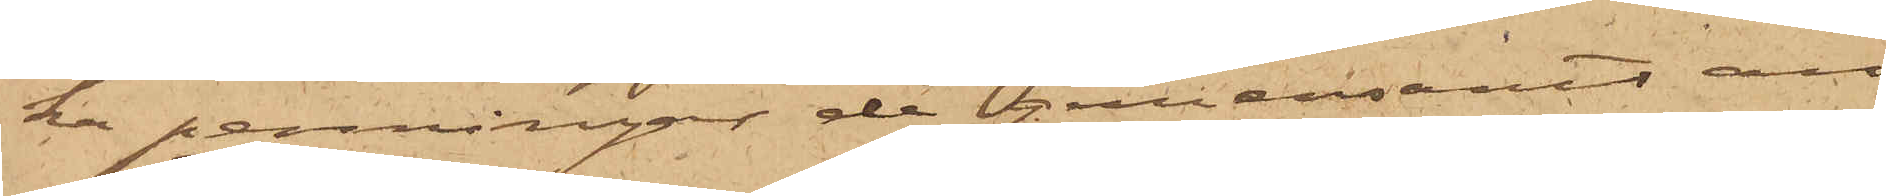ka penningar de gemensamt an¬
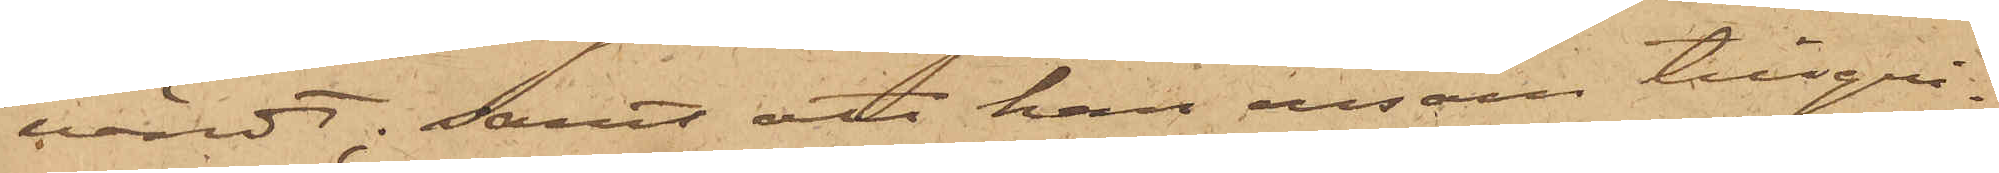vändt; samt att han ensam tillgri¬
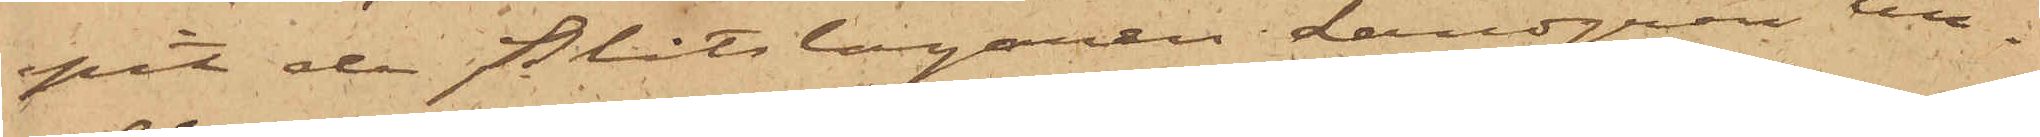pit de Plåtslagaren Landgren till¬
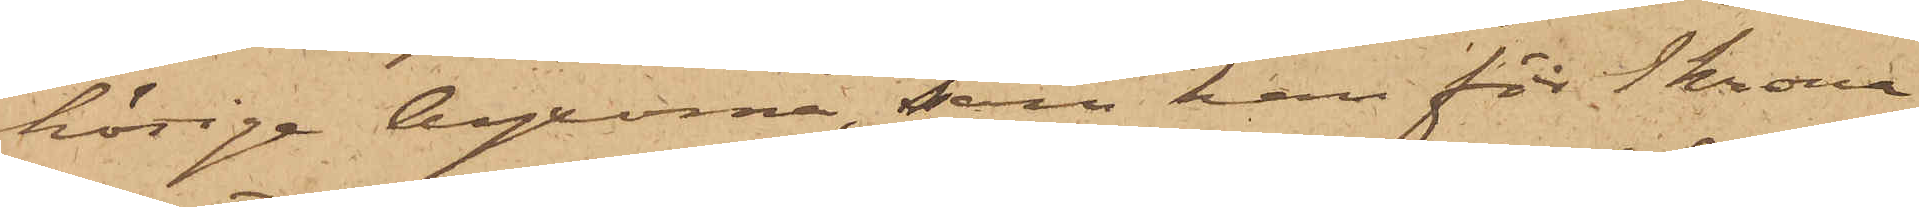hörige byxorna, som han för 1 krona
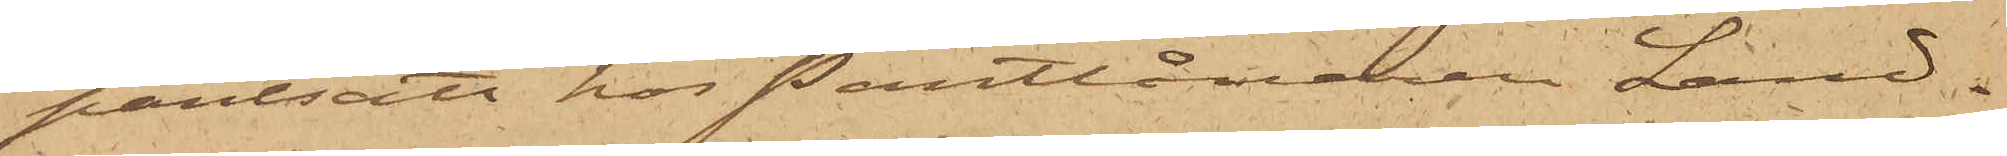pantsatt hos Pantlånaren Land¬
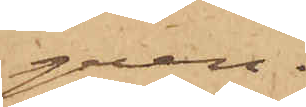gren.
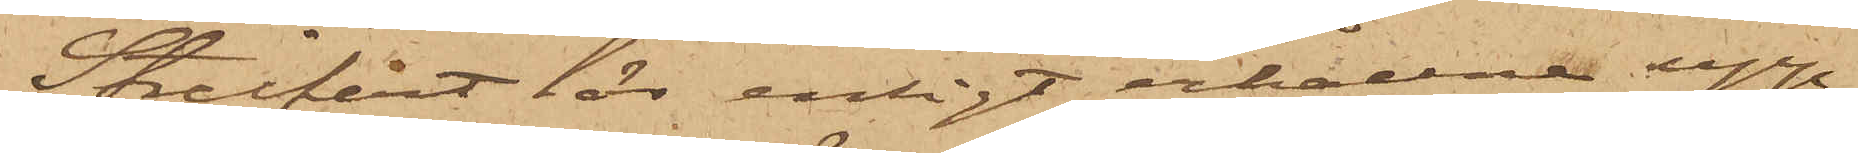Streifert lär enligt erhållna upp¬
